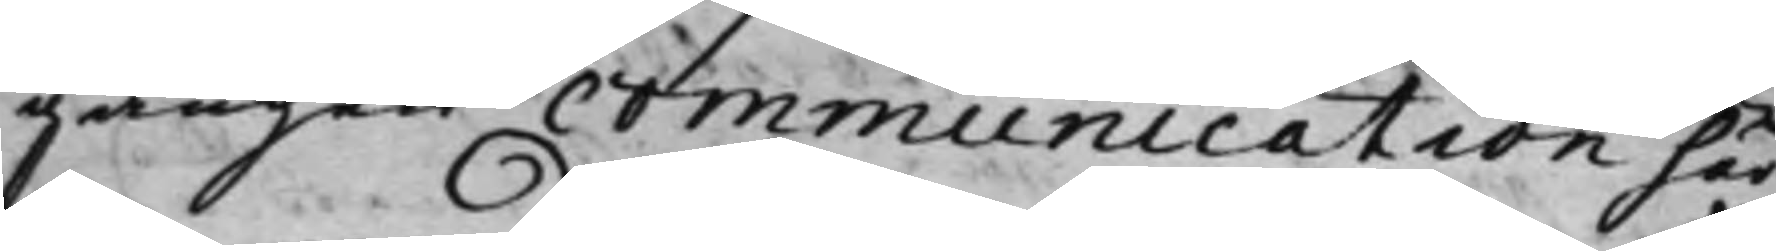gången communication här¬
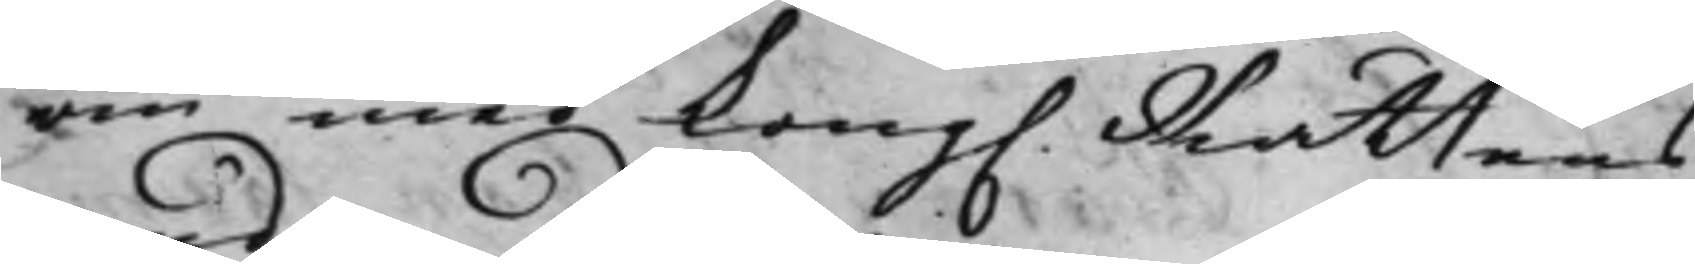om med Kong. Rättens
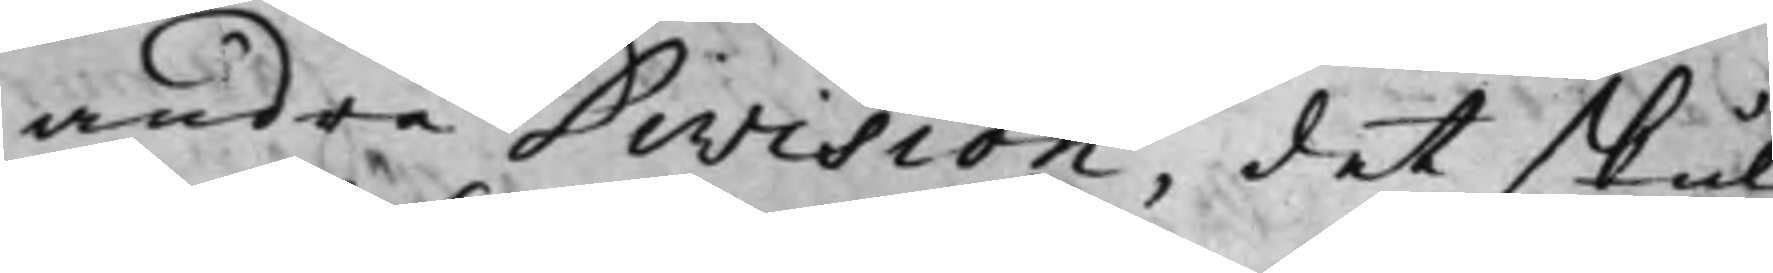andra Division, det skul¬
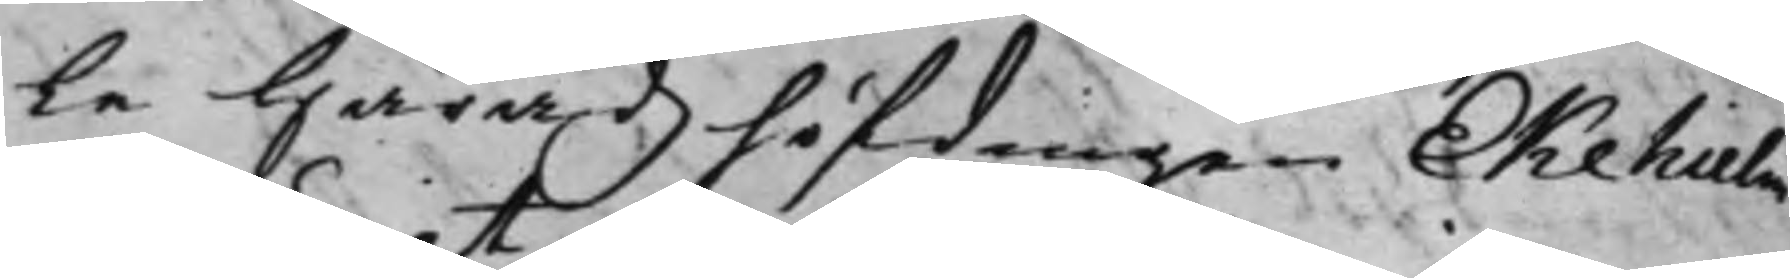le Häradzhöfdingen Ekehielm
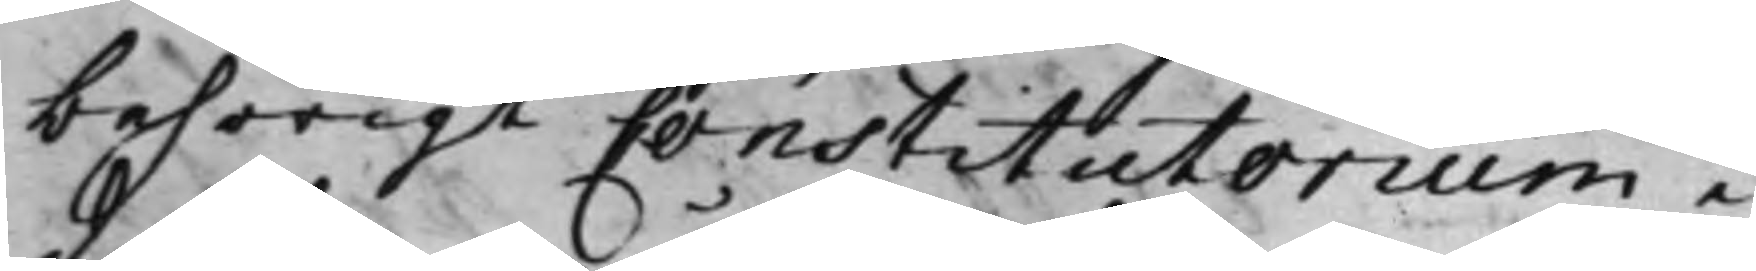behörigt Constitutorium i
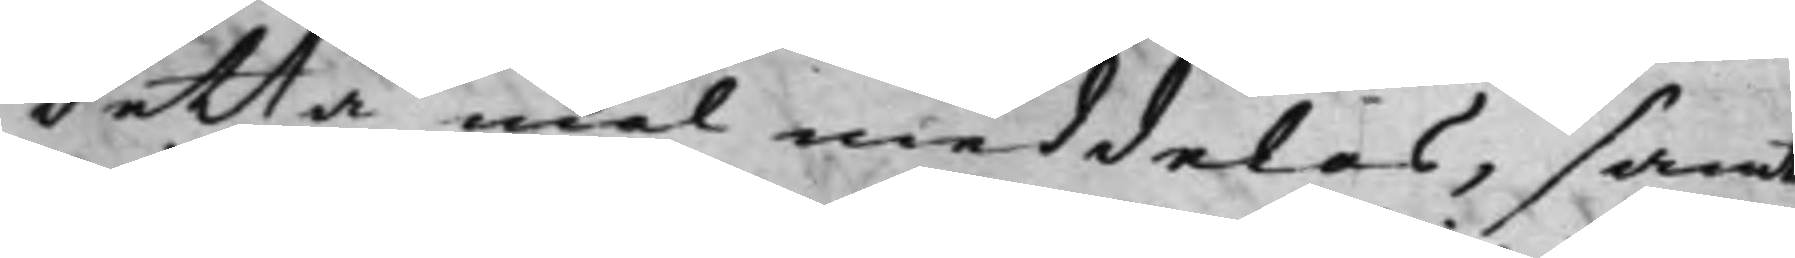detta mål meddelas, samt
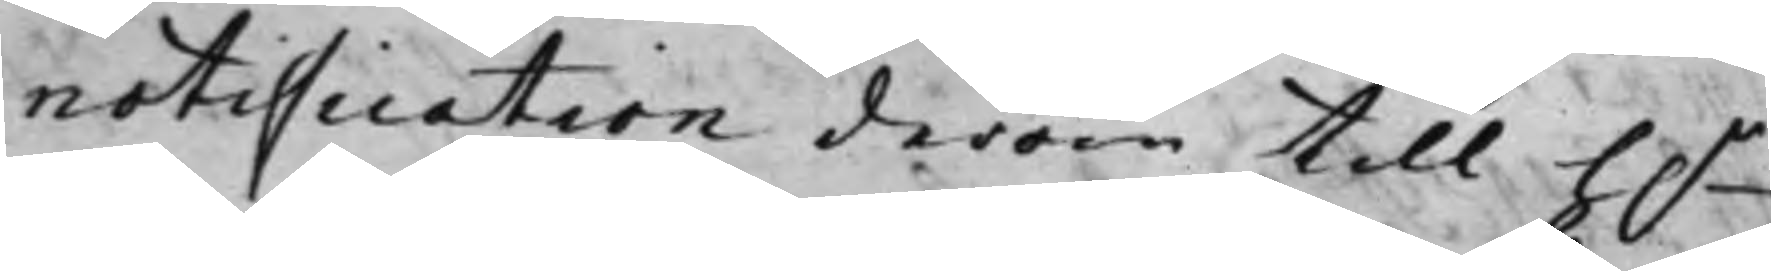notification derom till h.r
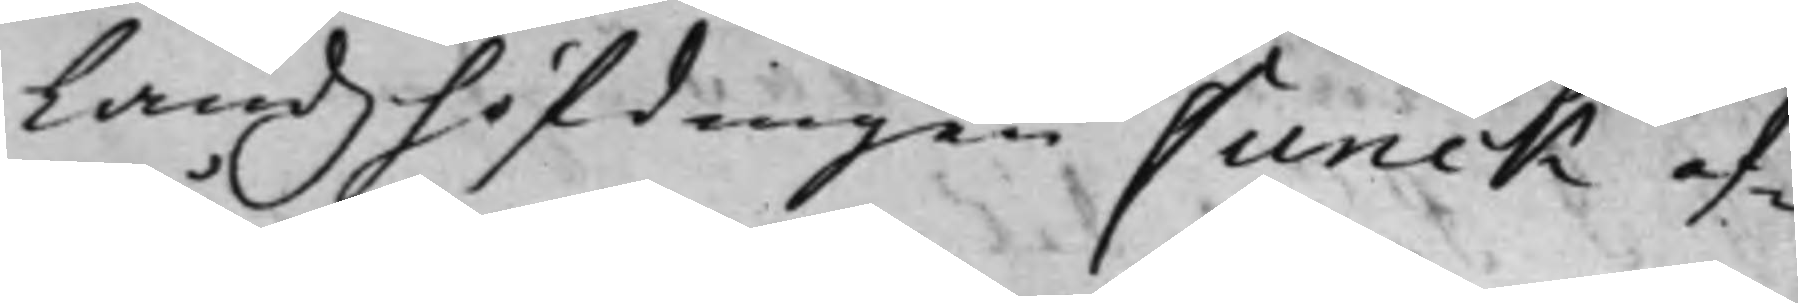Landzhöfdingen Funck af¬
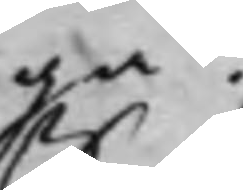gå.
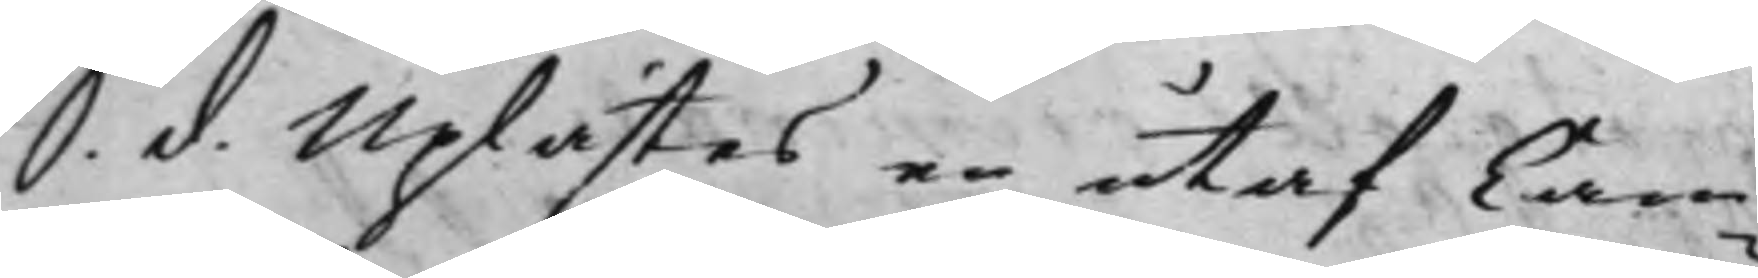S. d. Uplästes en utaf Cam¬
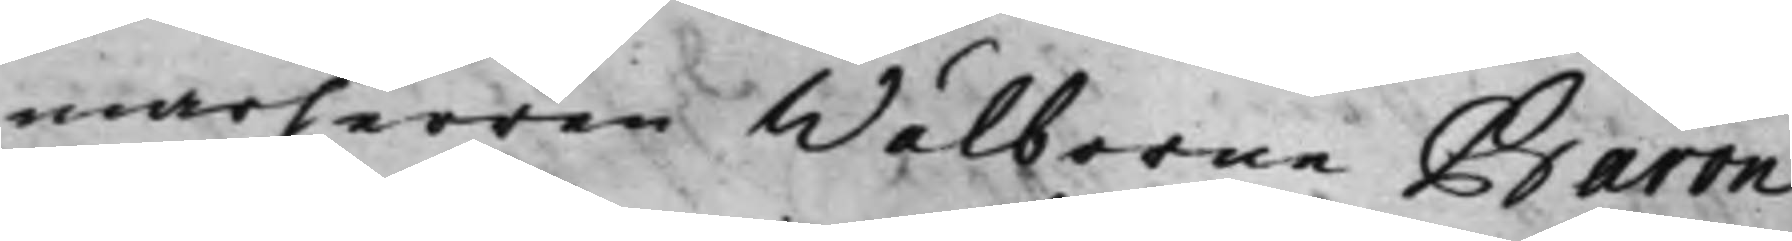marherren Wälborne Baron
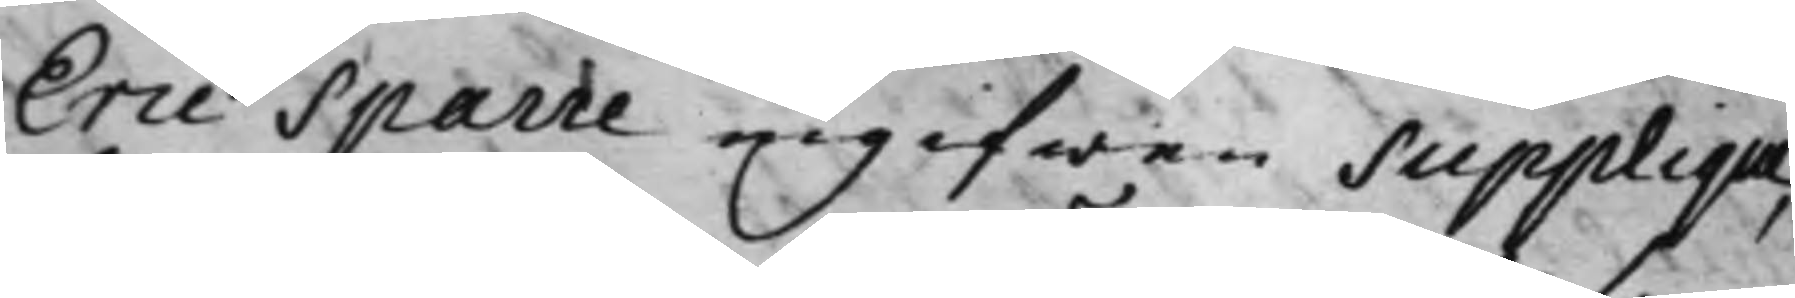Eric Sparre ingifwen Supplique,
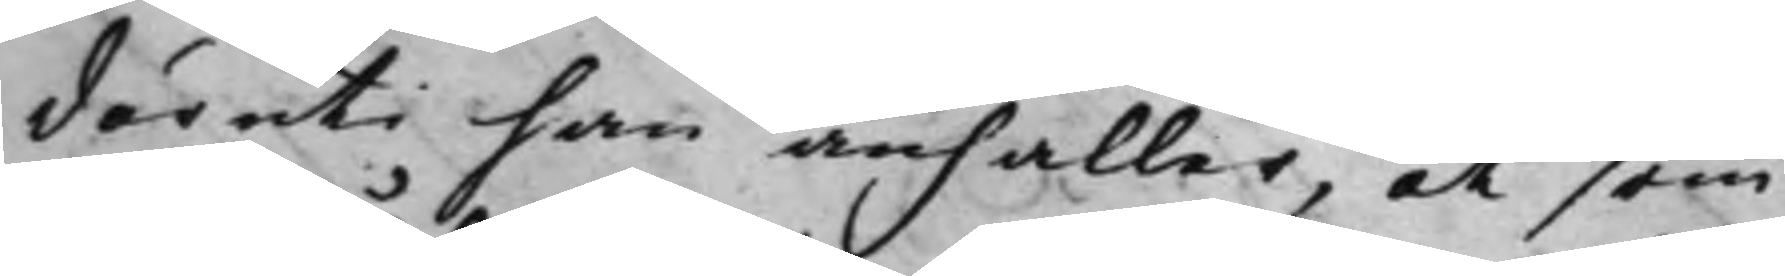däruti han anhåller, at som
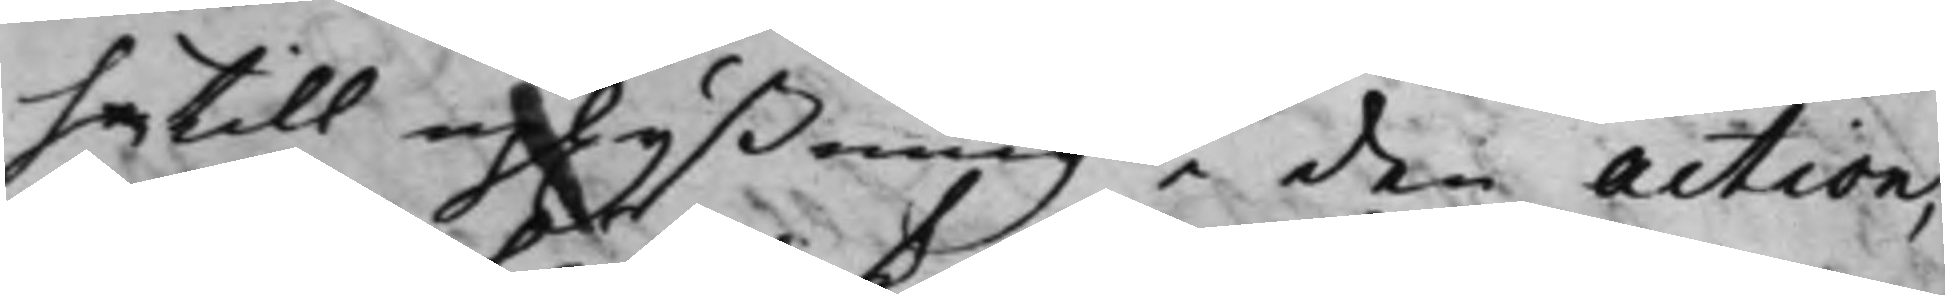ha till uplyßning i den action;
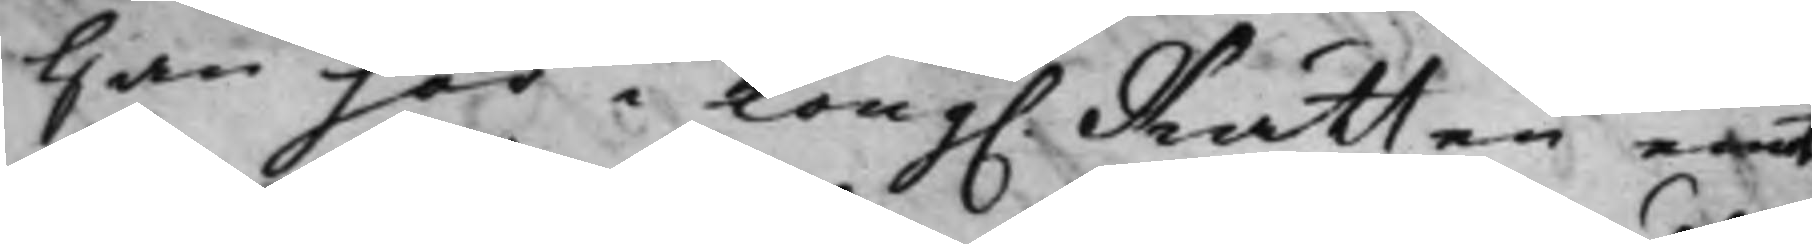han här i Kong. Rätten emot
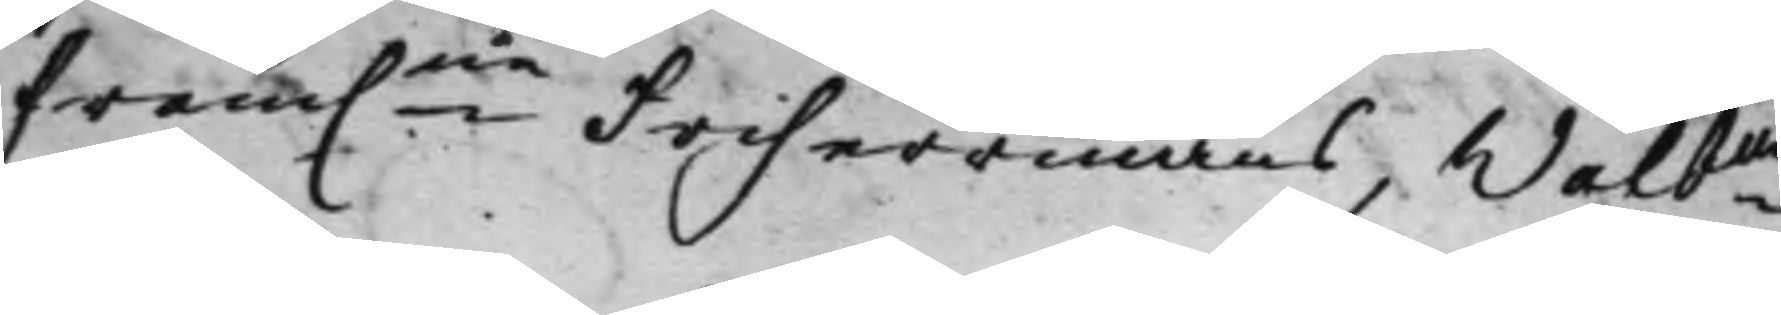fram.ne Friherrinnans Wälbne
